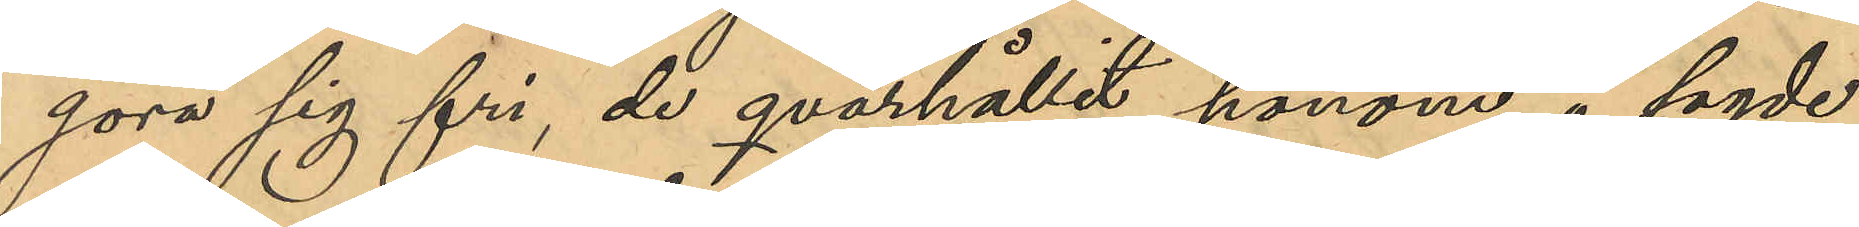göra sig fri, de qvarhållit honom å sagde
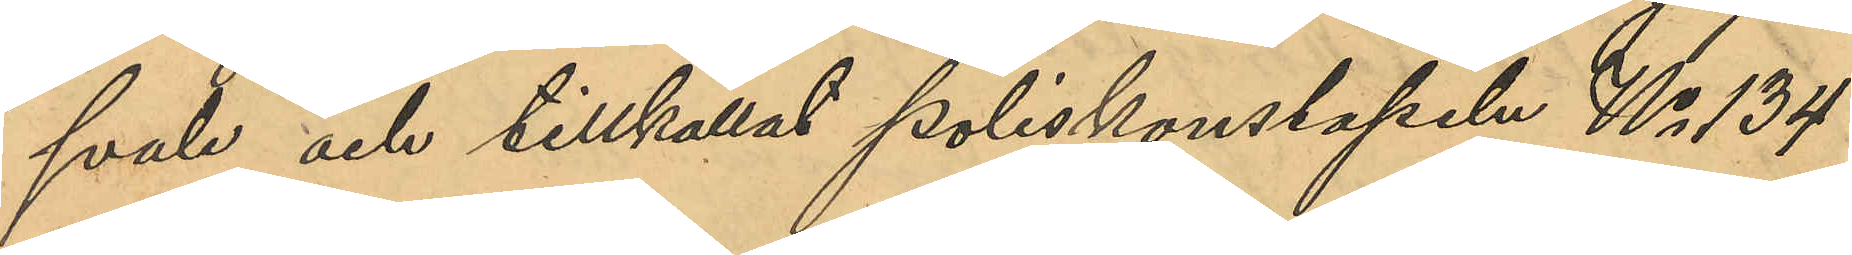svale och tillkallat Poliskonstapeln No 134
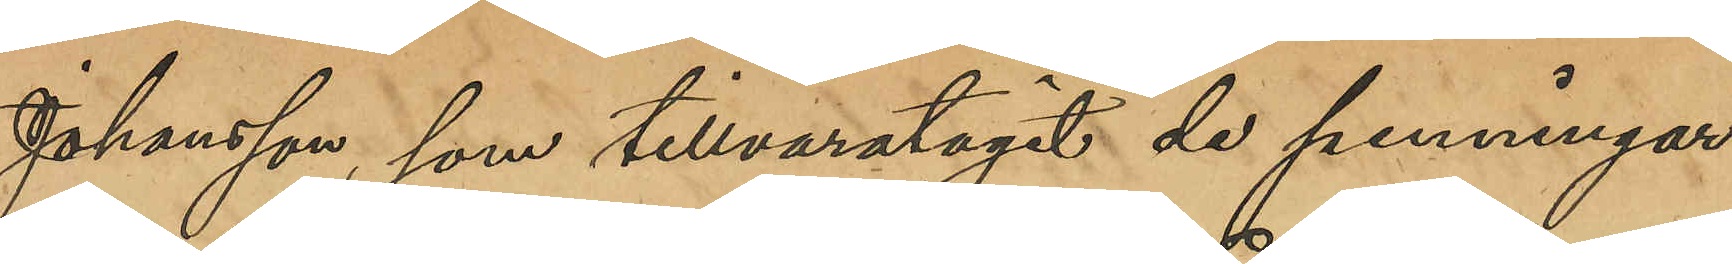Johansson, som tillvaratagit de penningar 
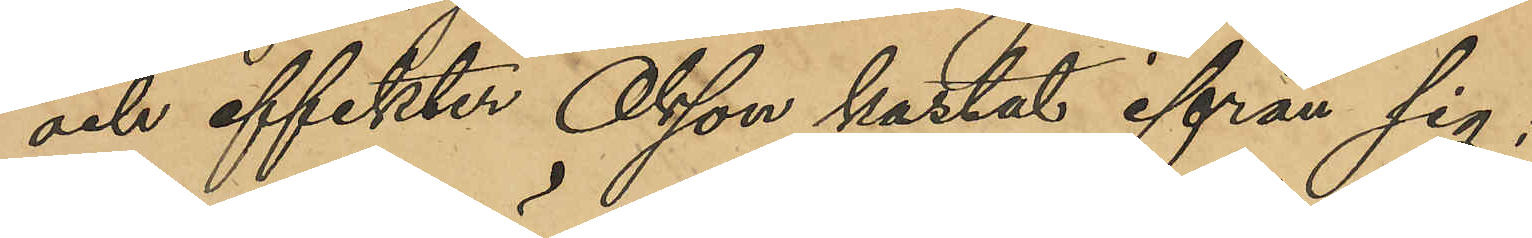och effekter Olsson kastat ifrån sig;
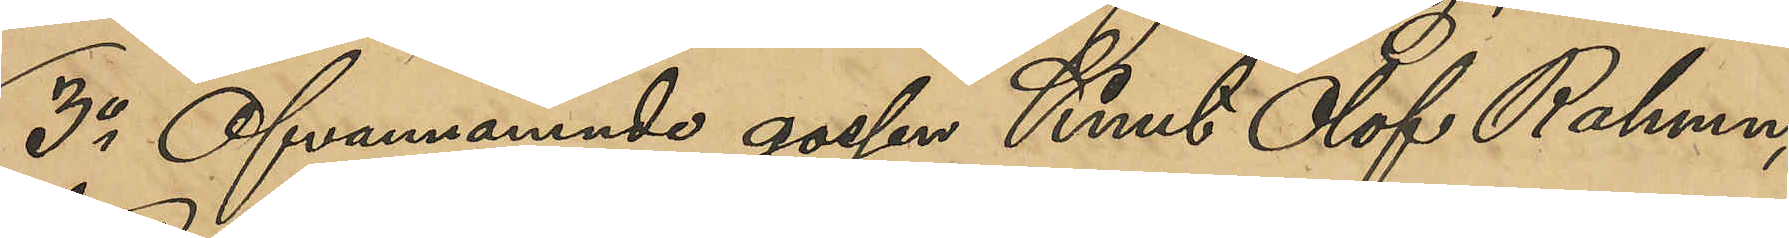3o Ofvannämnde gossen Knut Olof Rahman,
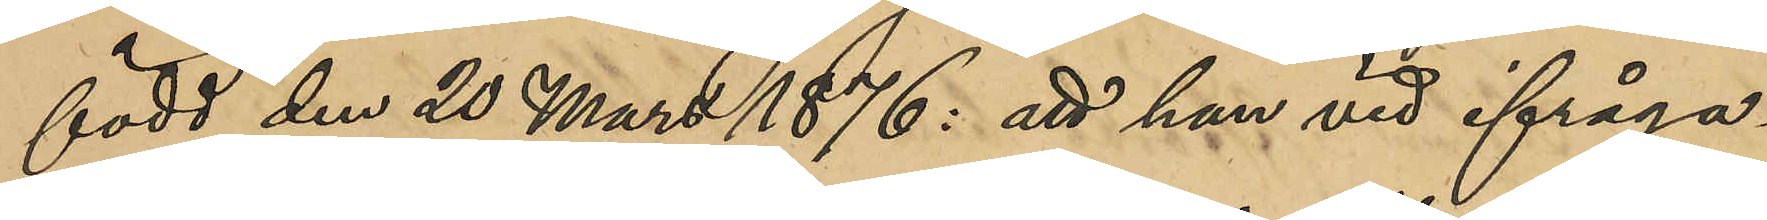född den 20 Mars 1876: att han vid ifråga¬
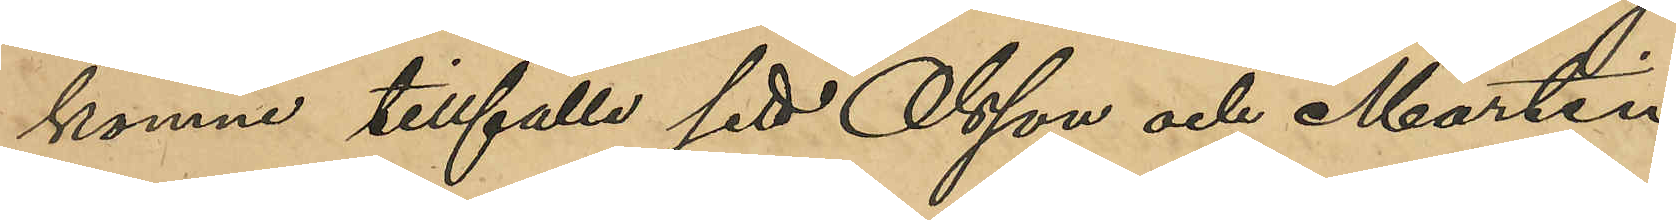komne tillfälle sett Olsson och Martin
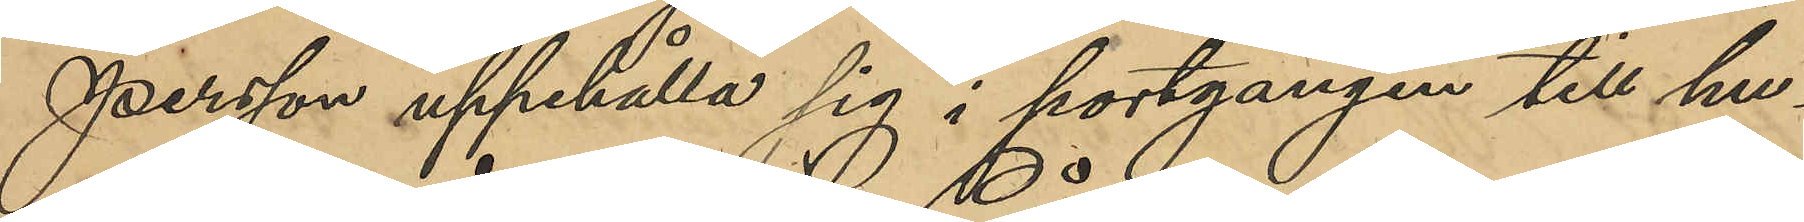Persson uppehålla sig i portgången till hu¬
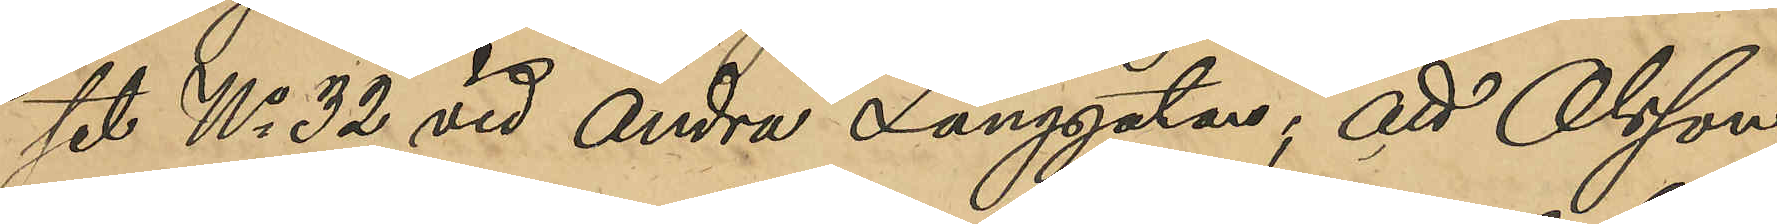set No 32 vid Andra Långgatan; att Olsson
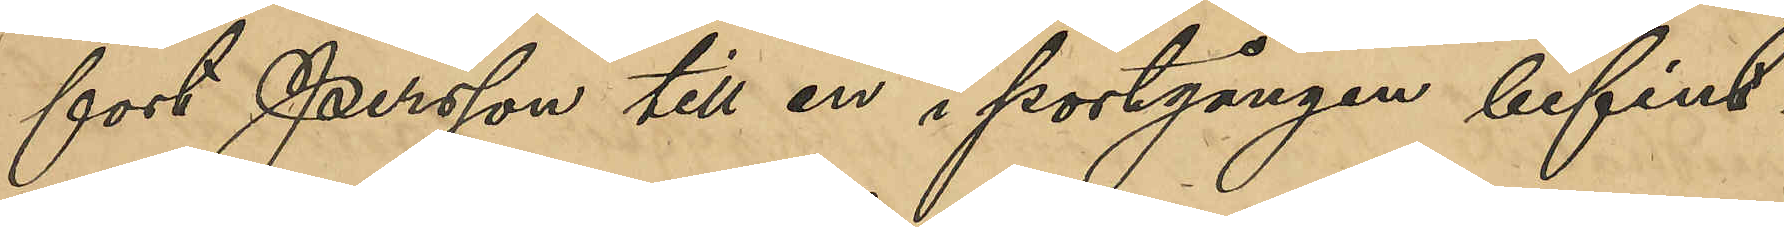fort Persson till en i portgången befint¬
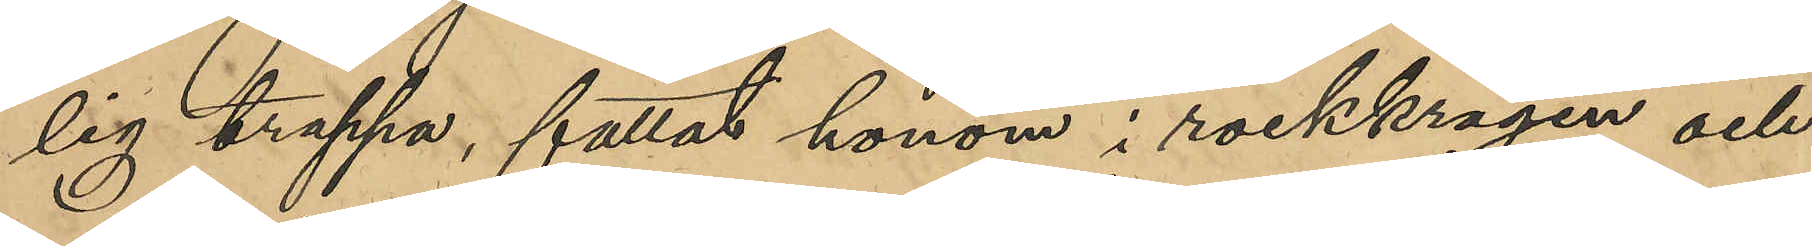lig trappa, fattat honom i rockkragen och
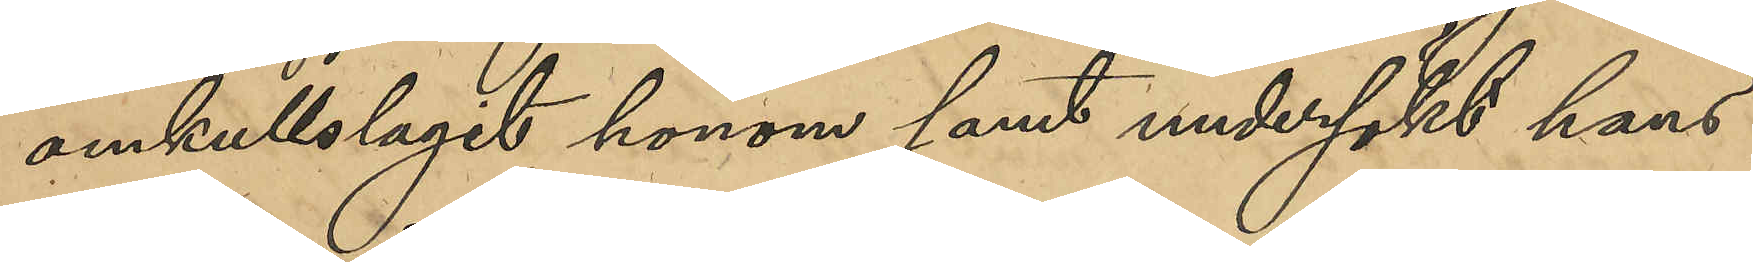omkullslagit honom samt undersökt hans
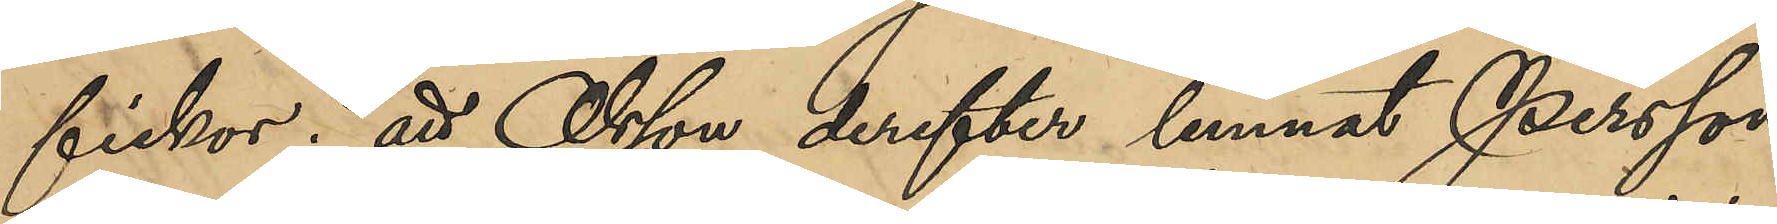fickor; att Olsson derefter lemnat Persson
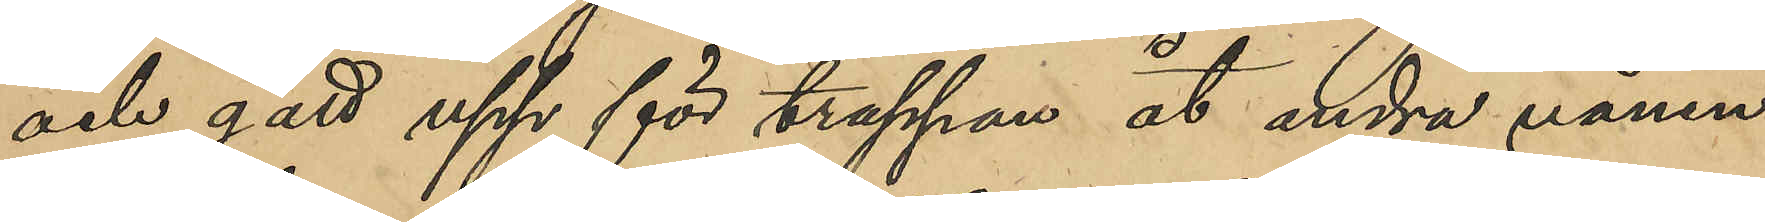och gått upp för trappan åt andra vånin¬
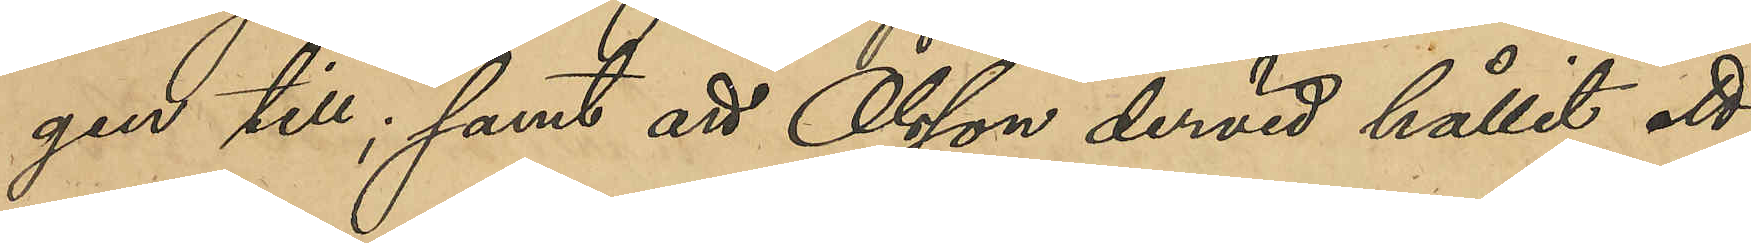gen till; samt att Olsson dervid hållit ett
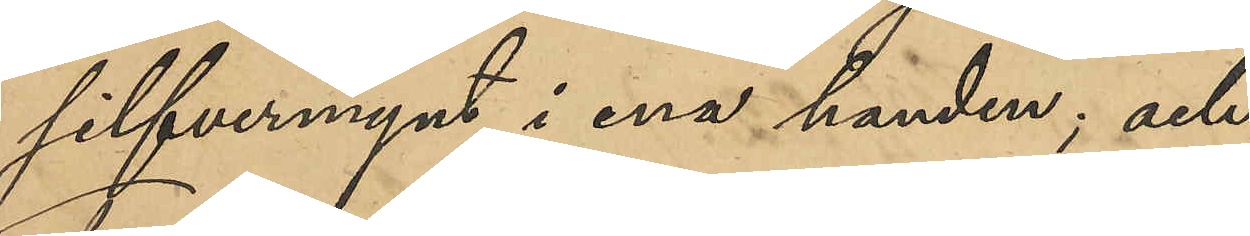silfvermynt i ena handen; och
